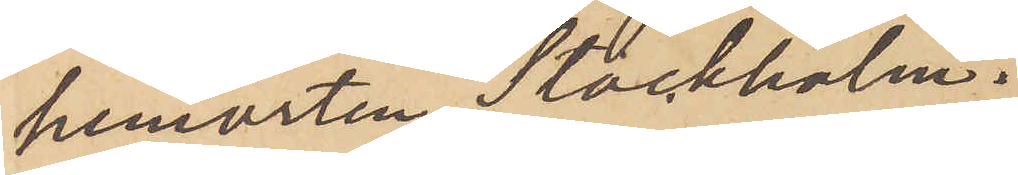hemorten, Stockholm.
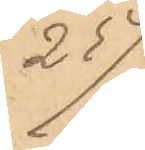25/9
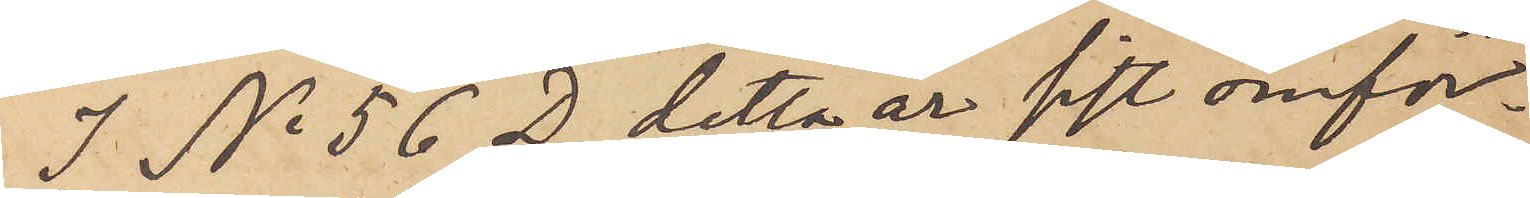I No 56 D. detta år sist omför¬
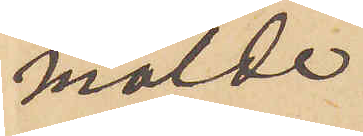mälde
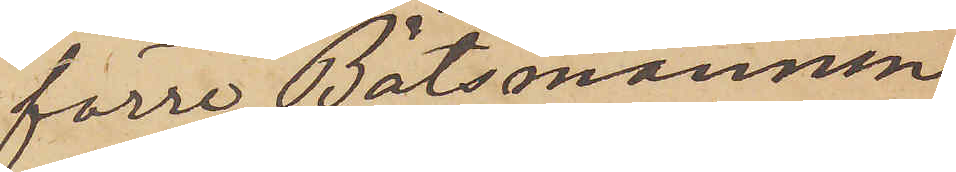förre Båtsmannen
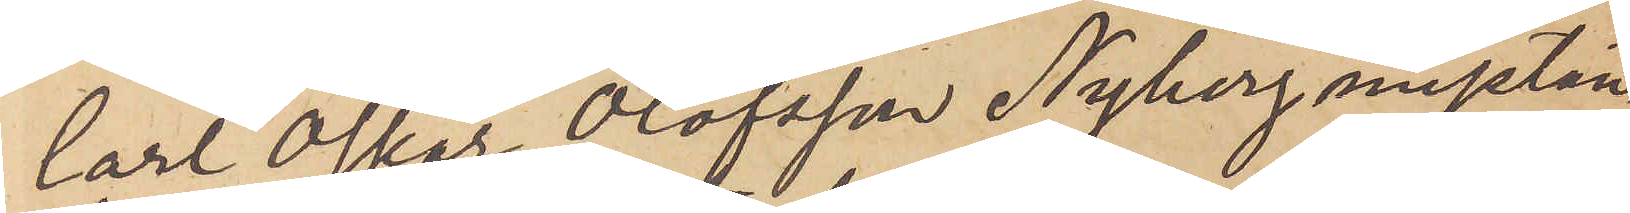Carl Oskar Olofsson Nyberg misstän¬
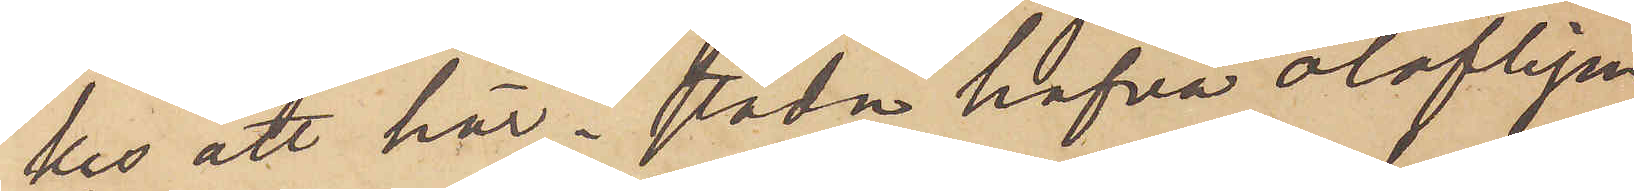kes att här i stadn hafva olofligen
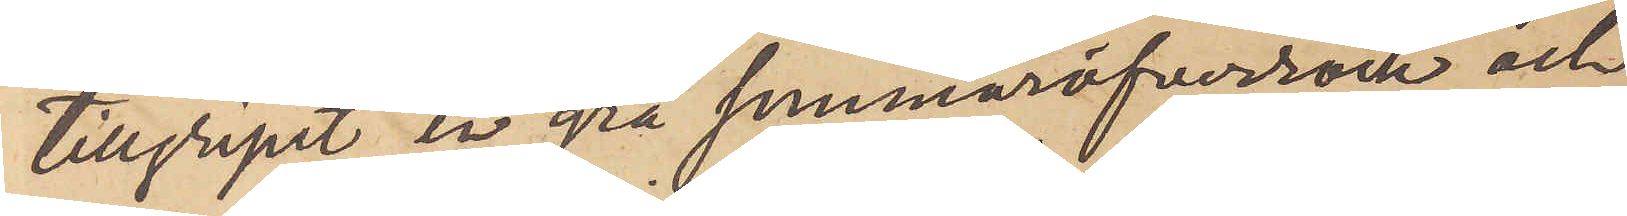tillgripit en grå sommaröfverrock och
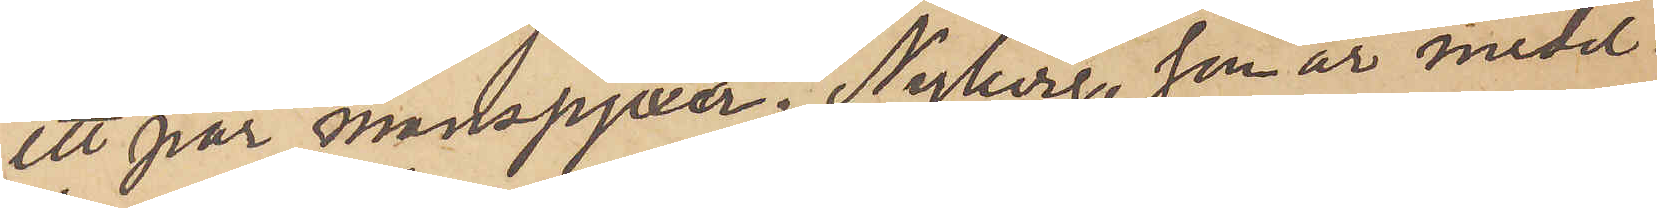ett par manspjexor. Nyberg, som är medel¬
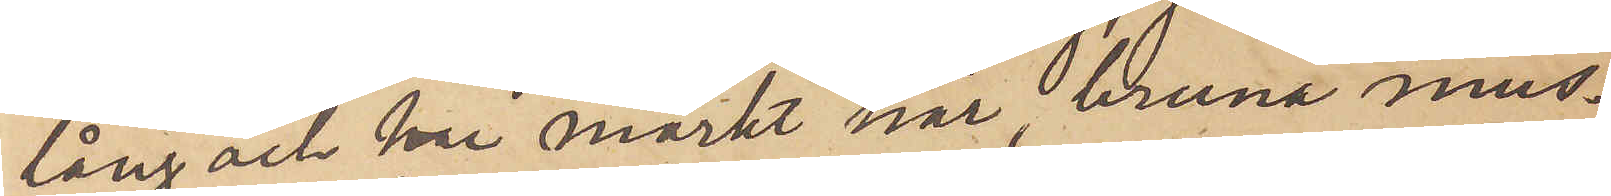lång och har mörkt hår, bruna mus¬
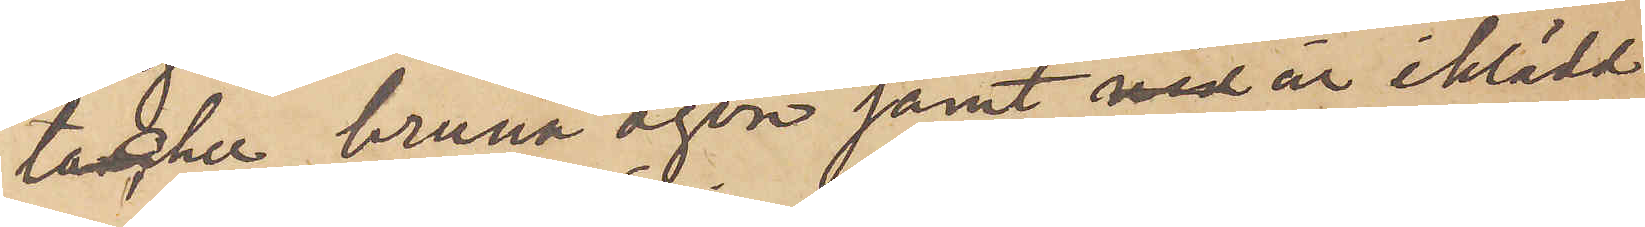tascher, bruna ögon samt med är iklädd
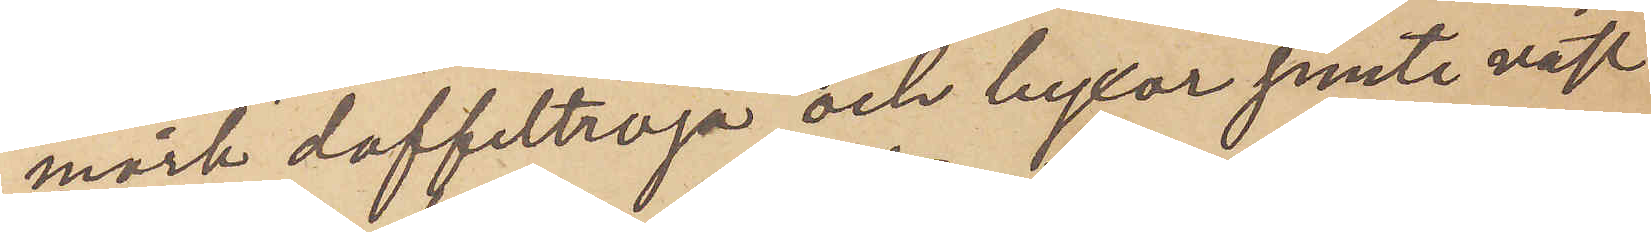mörk doffeltröja och byxor jemte väst
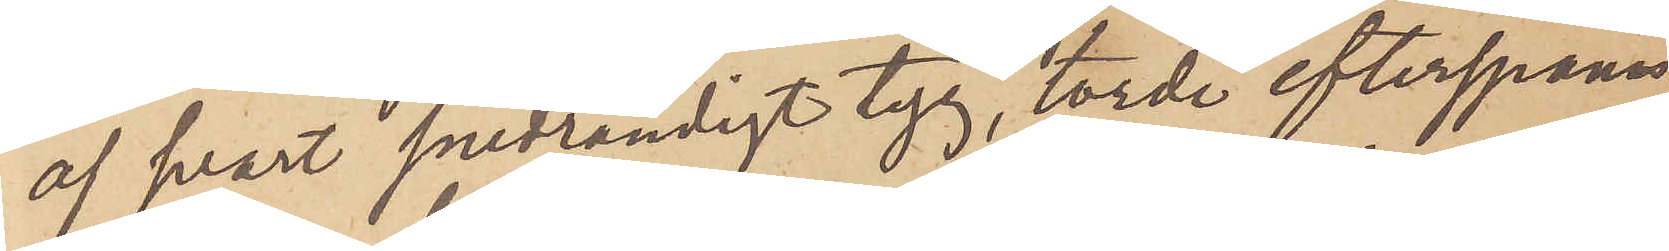af svart snedrandigt tyg, torde efterspanas
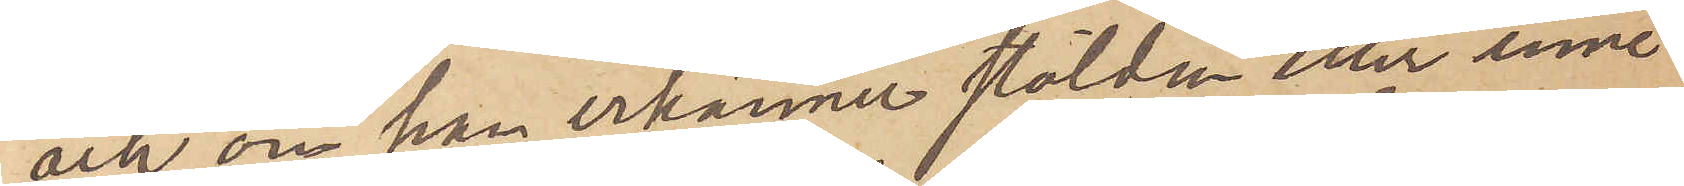och, om han erkänner stölden eller inne¬
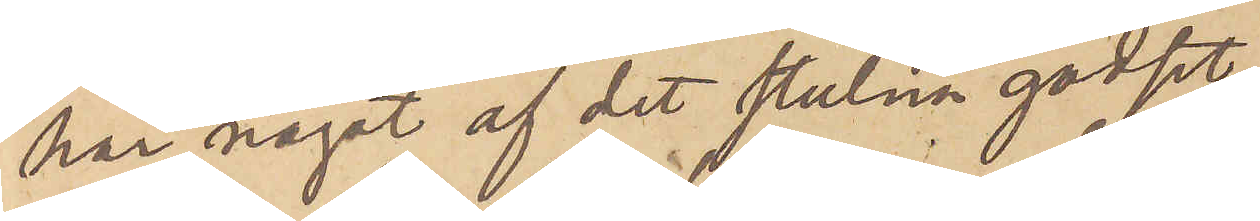har något af det stulna godset,
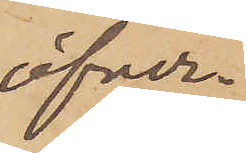öfver¬
